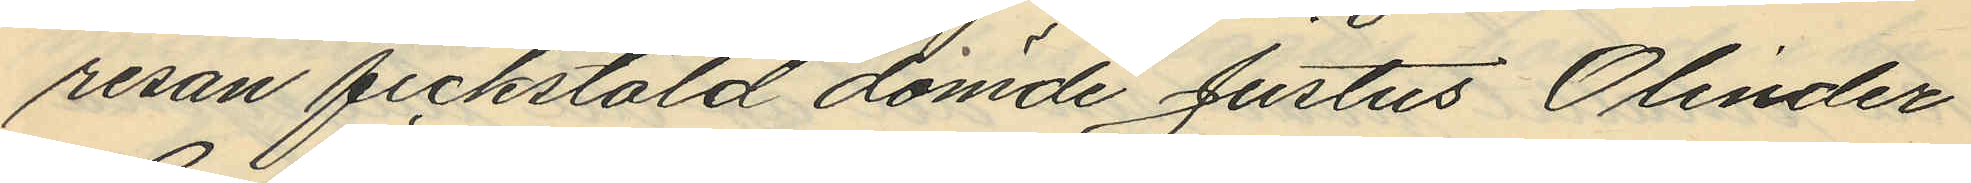resan fickstöld dömde Justus Olinder
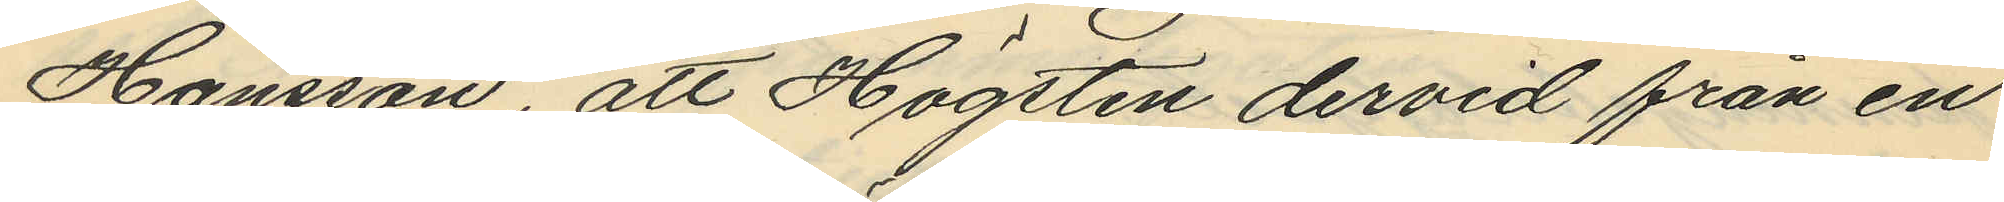Hansson, att Högsten dervid från en
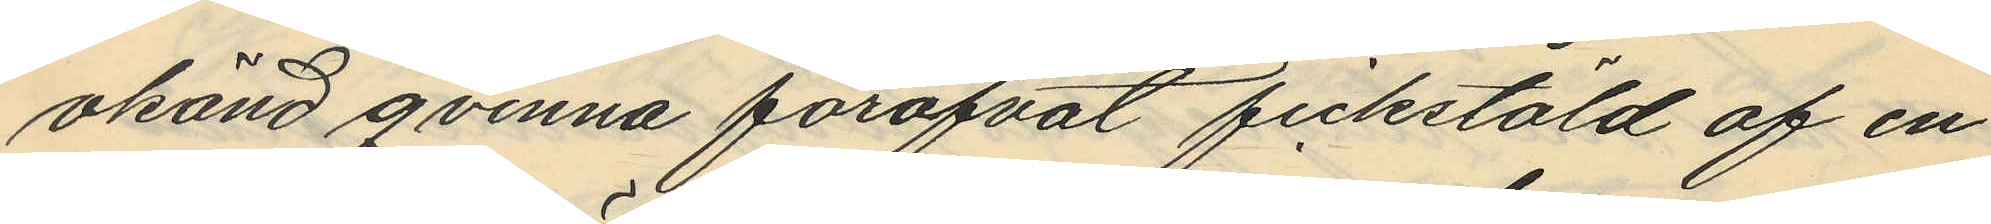okänd qvinna föröfvat fickstöld af en
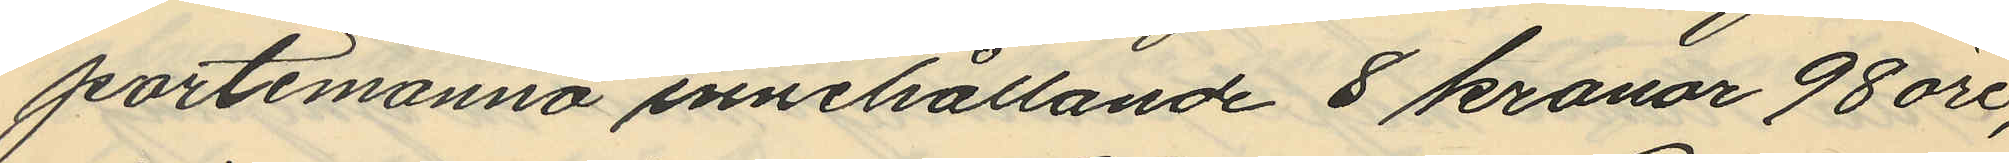portemonnä innehållande 8 kronor 98 öre,
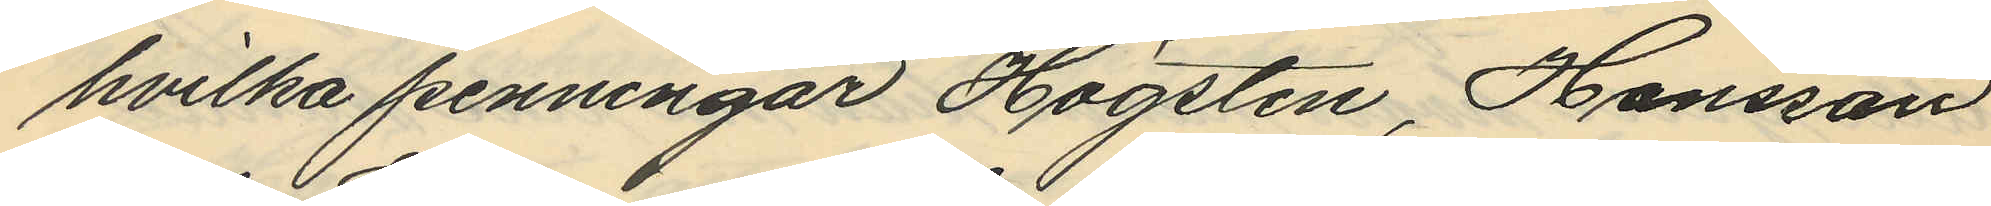hvilka penningar Högsten, Hansson
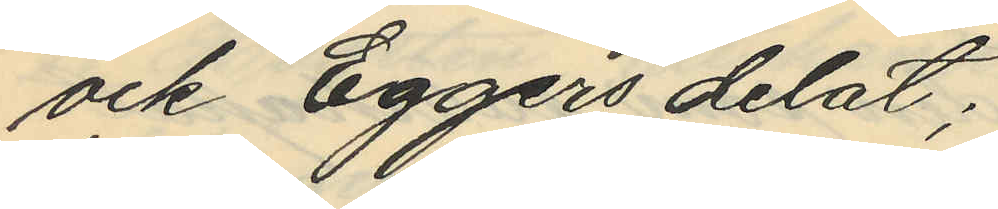och Eggers delat;
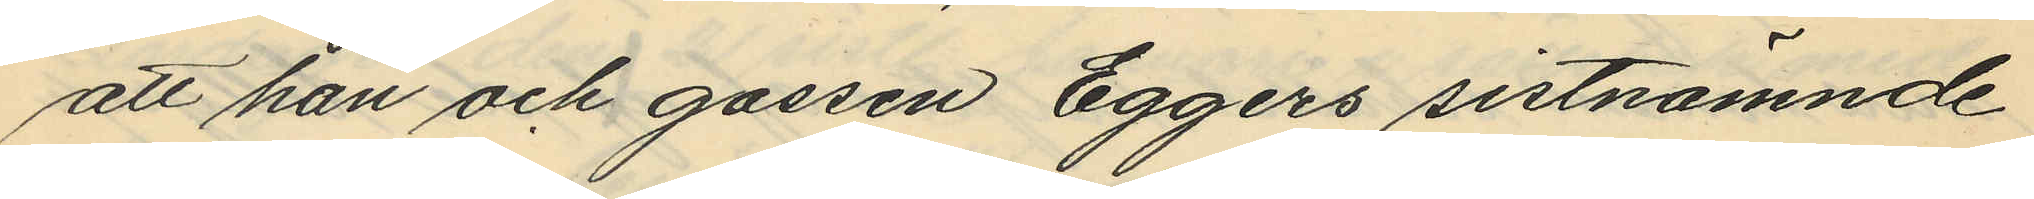att han och gossen Eggers sistnämnde
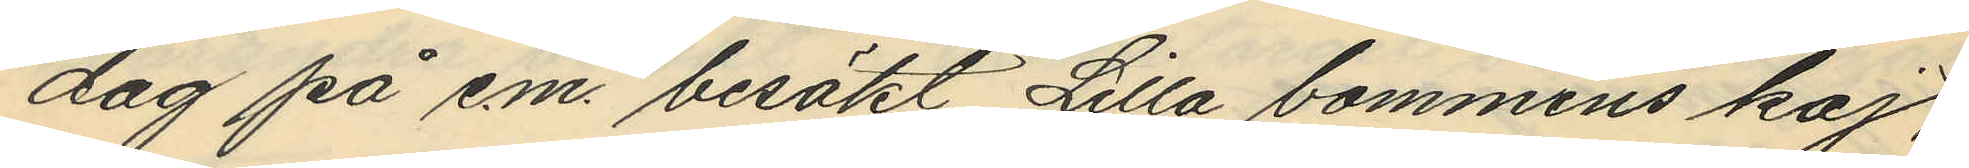dag på em. besökt Lilla bommens kaj,
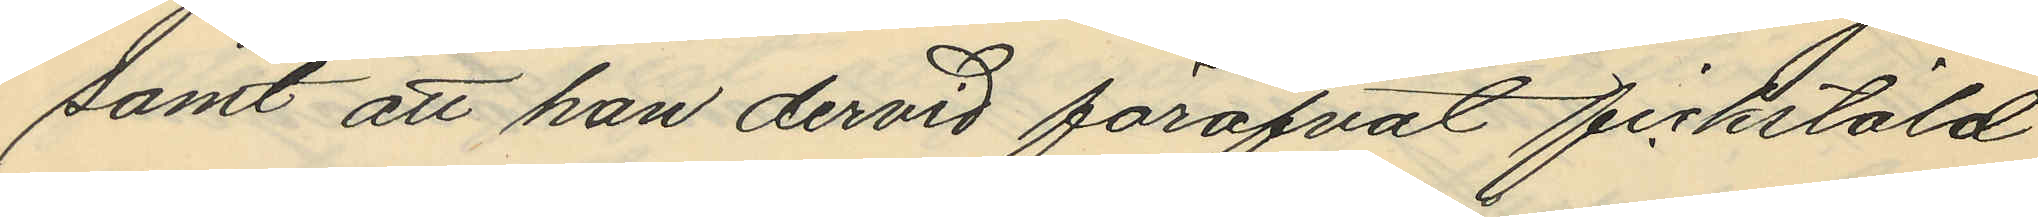samt att han dervid föröfvat fickstöld
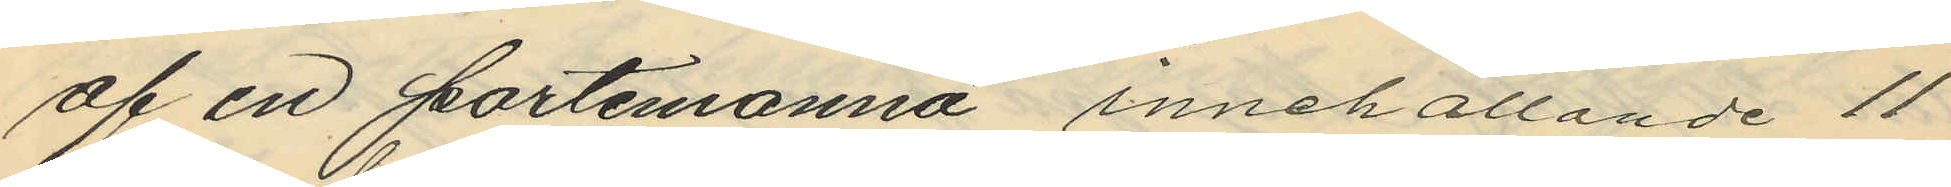af en portemonnä, innehållande 11
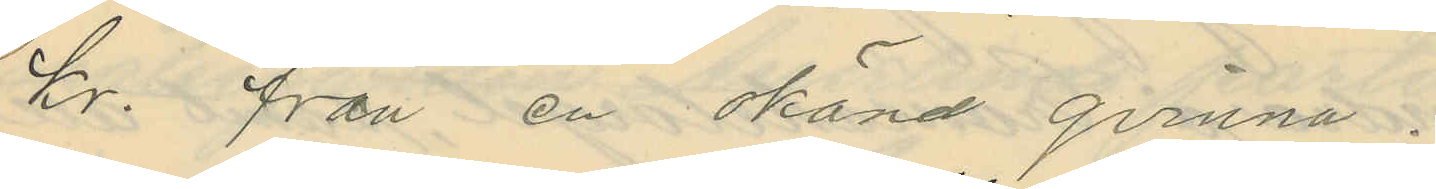kr. från en okänd qvinna.
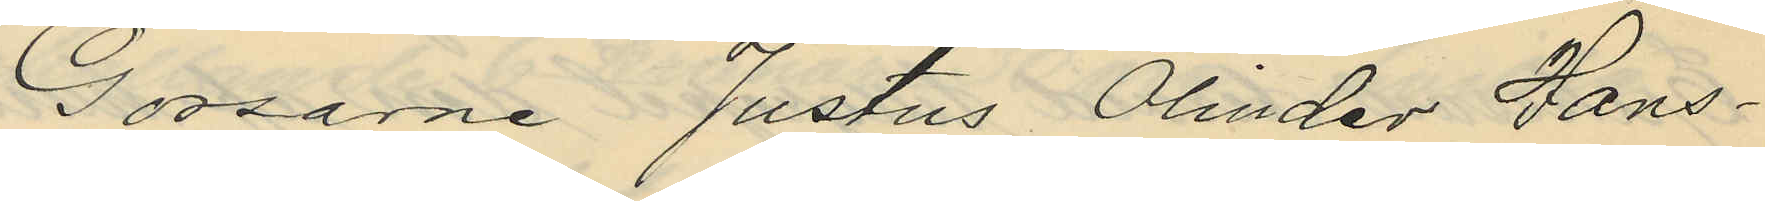Gossarne Justus Olinder Hans¬
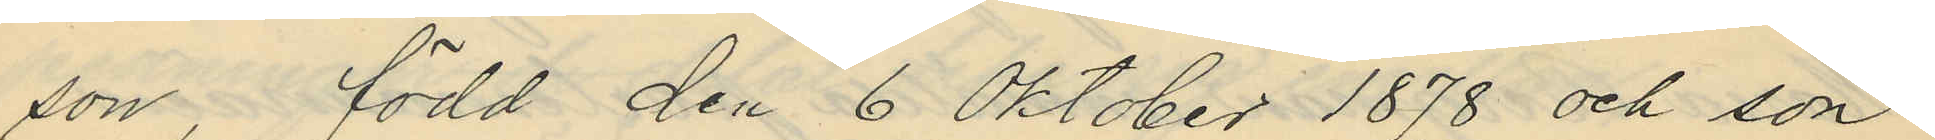son, född den 6 Oktober 1878 och son
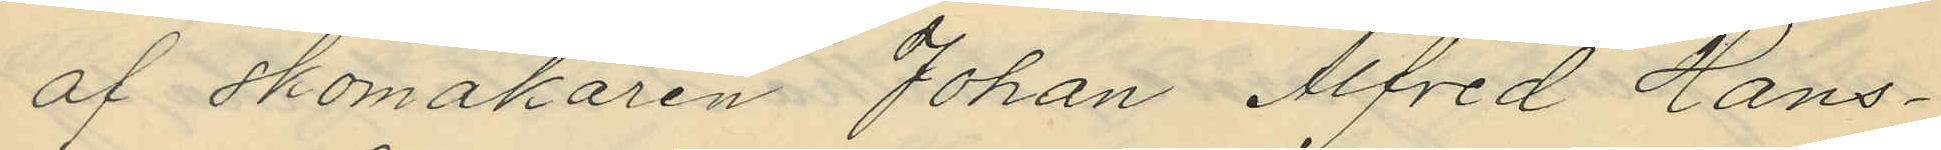af skomakaren Johan Alfred Hans¬
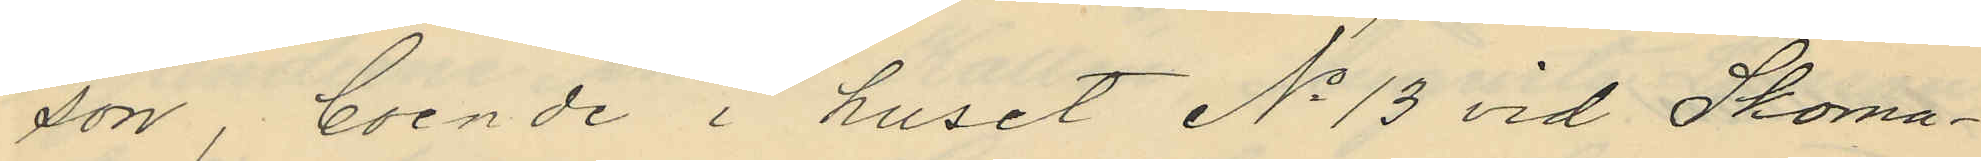son, boende i huset No 13 vid Skoma¬
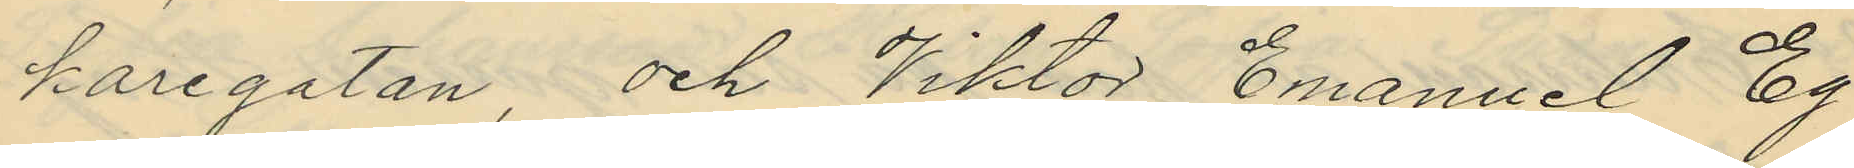karegatan och Viktor Emanuel Eg¬
